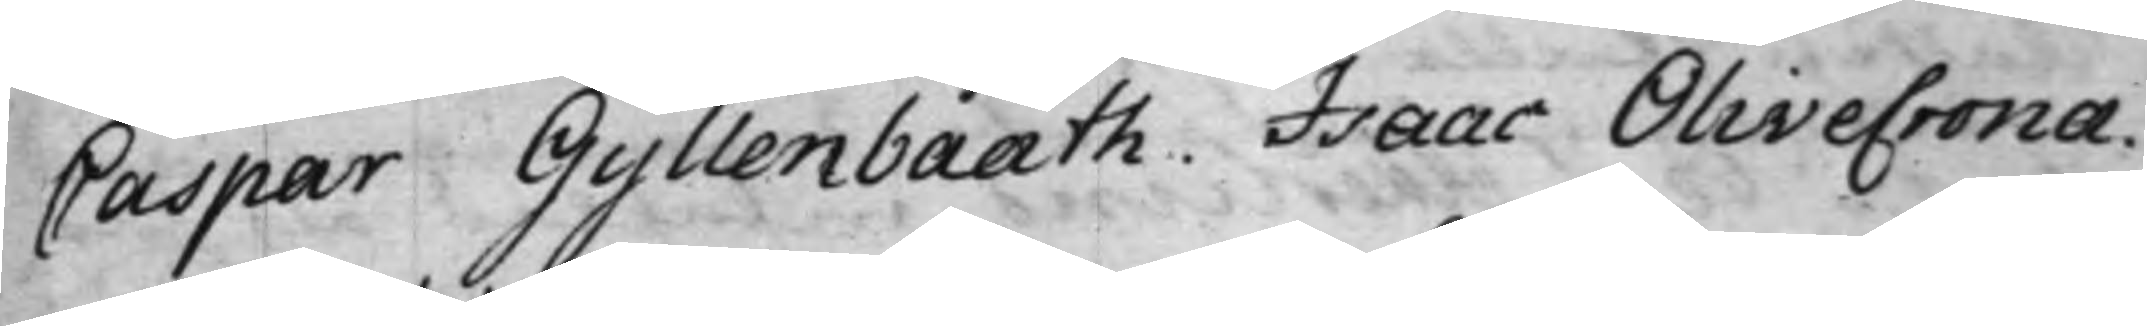Caspar Gyllenbååth. Isaac Olivecrona.
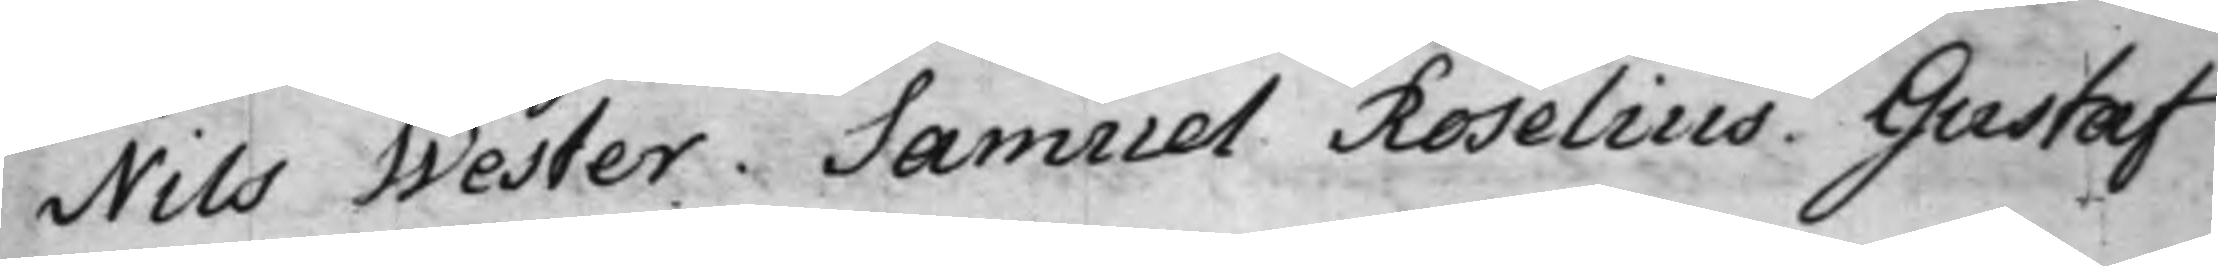Nils Wester. Samuel Roselius. Gustaf
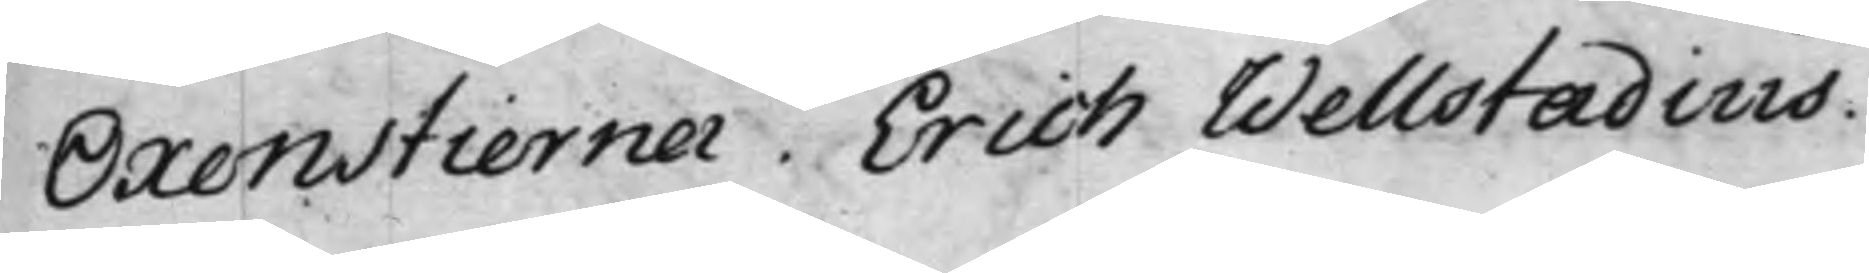Oxenstierna. Eric Wellstadius.
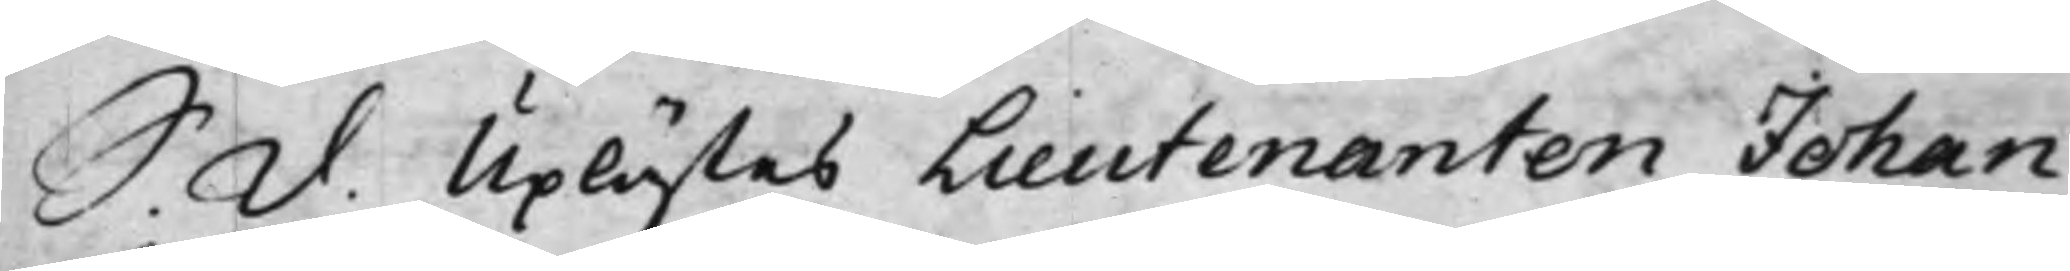S. d. Uplästes Lieutenanten Johan
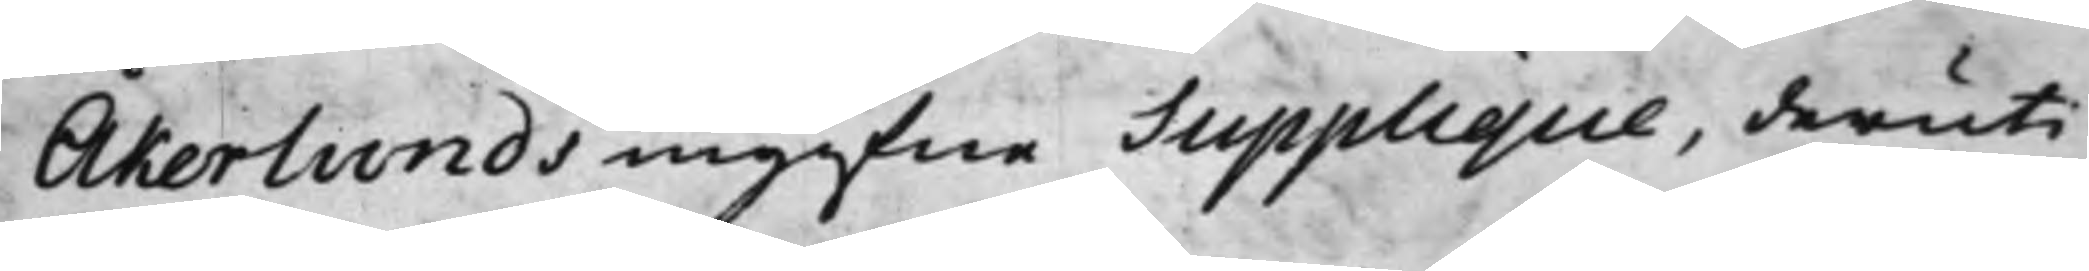Åkerlunds ingifne Supplique, deruti
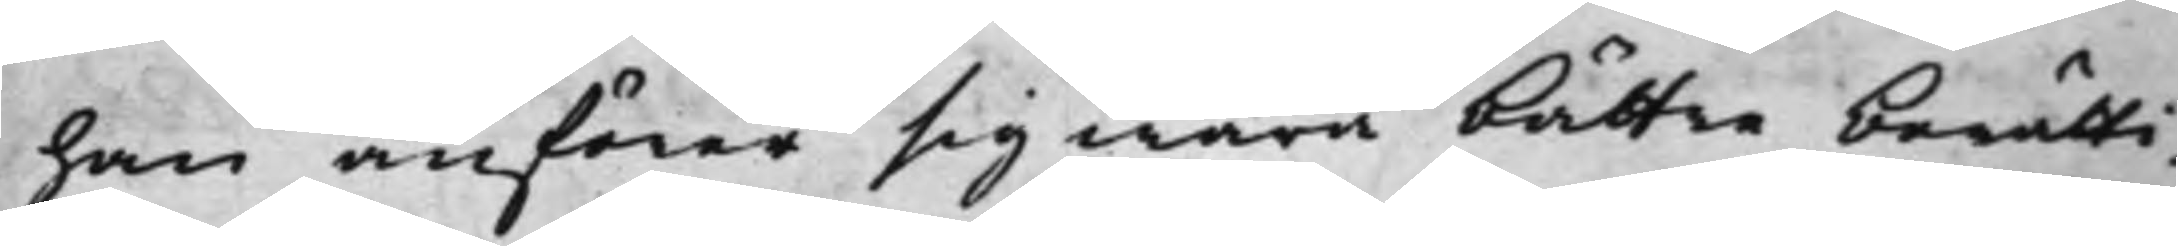han anförer sig wara bättre berätti¬
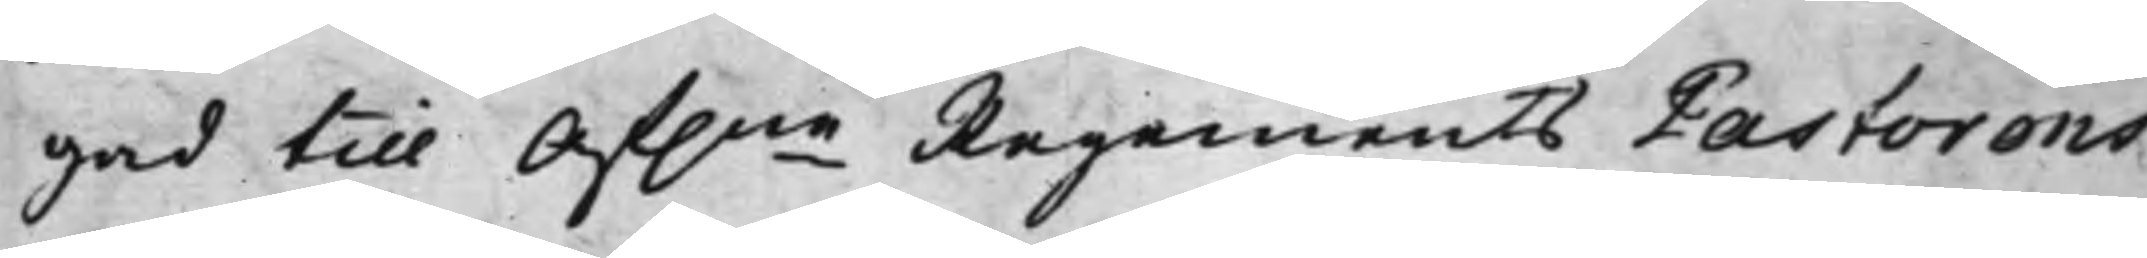gad till Af.ne Regements Pastorens
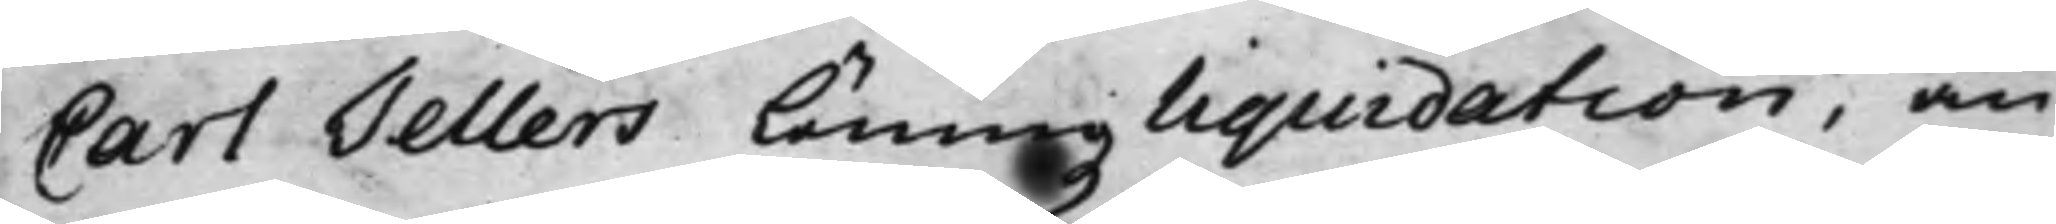Carl Tellers Löningz liquidation, än
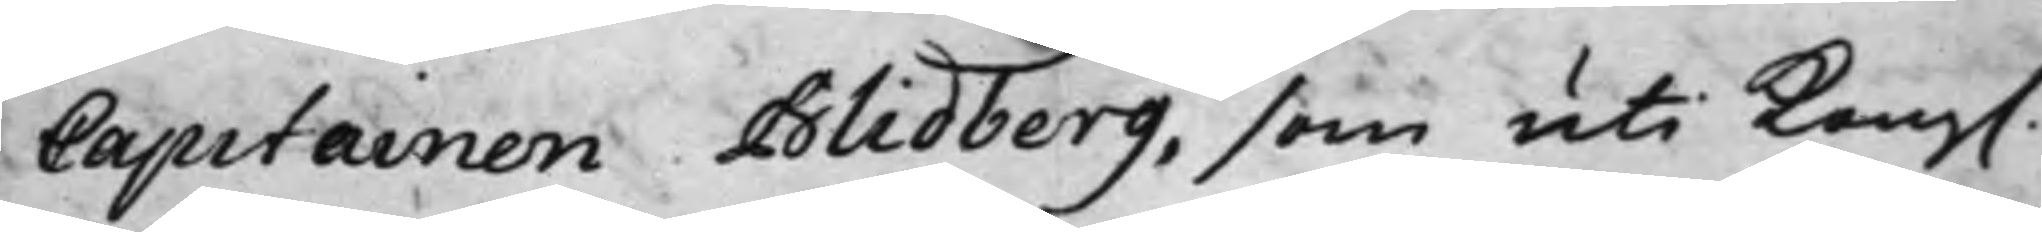Capitainen Blidberg, som uti Kong.
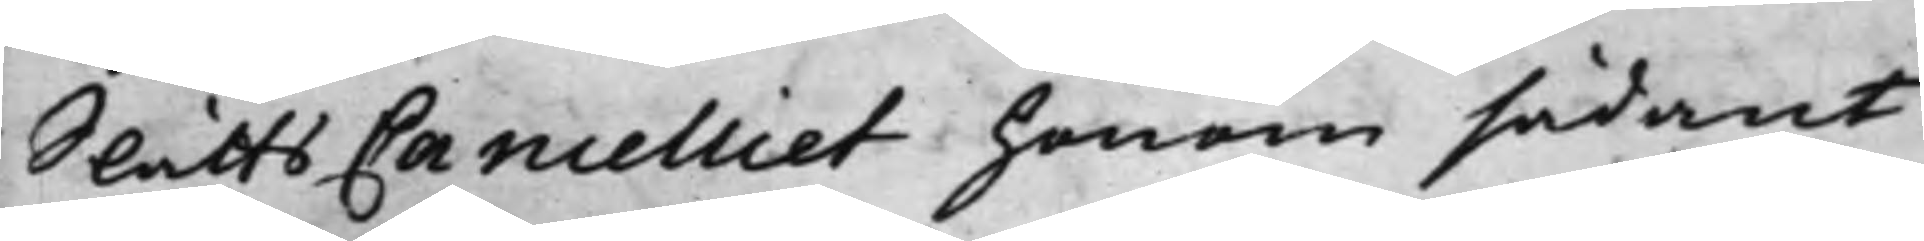SlåttsCancelliet honom sådant
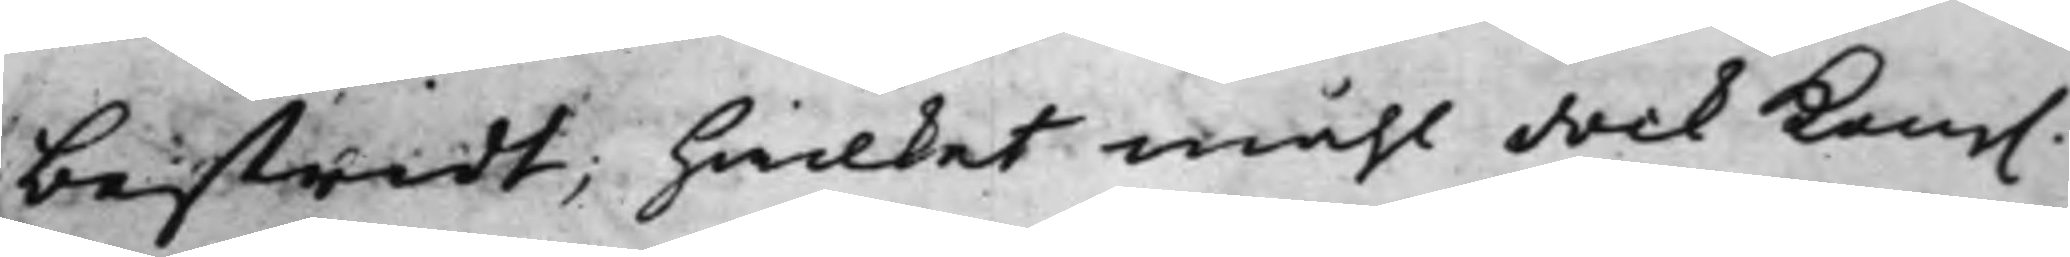bestridt; hwilket måhl dock Kong.
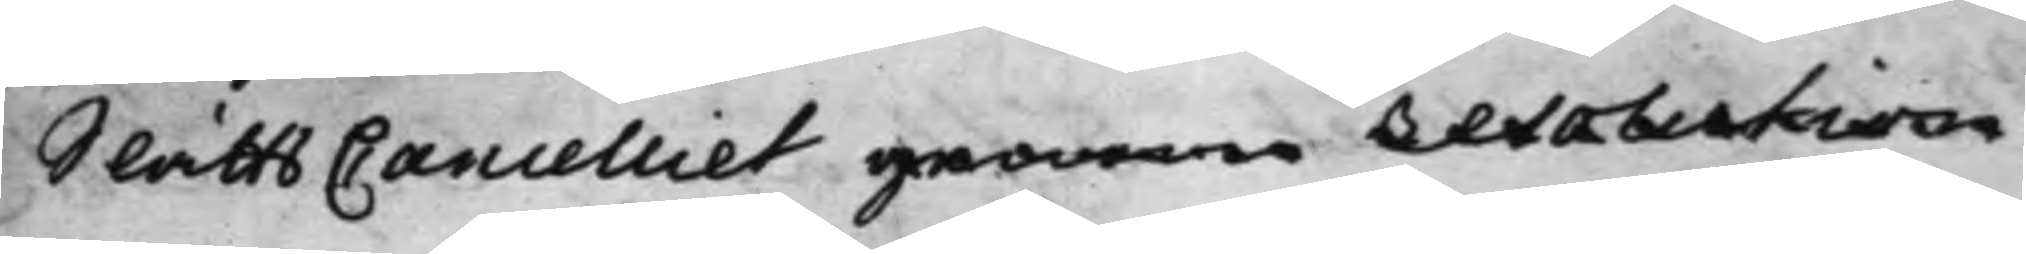SlåttsCancelliet genom resolution
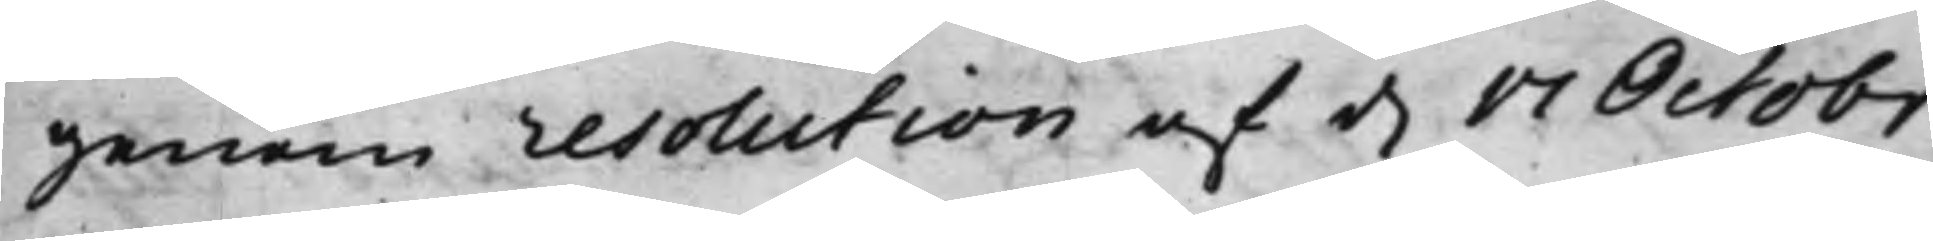genom resolution af d. 17 Octobr
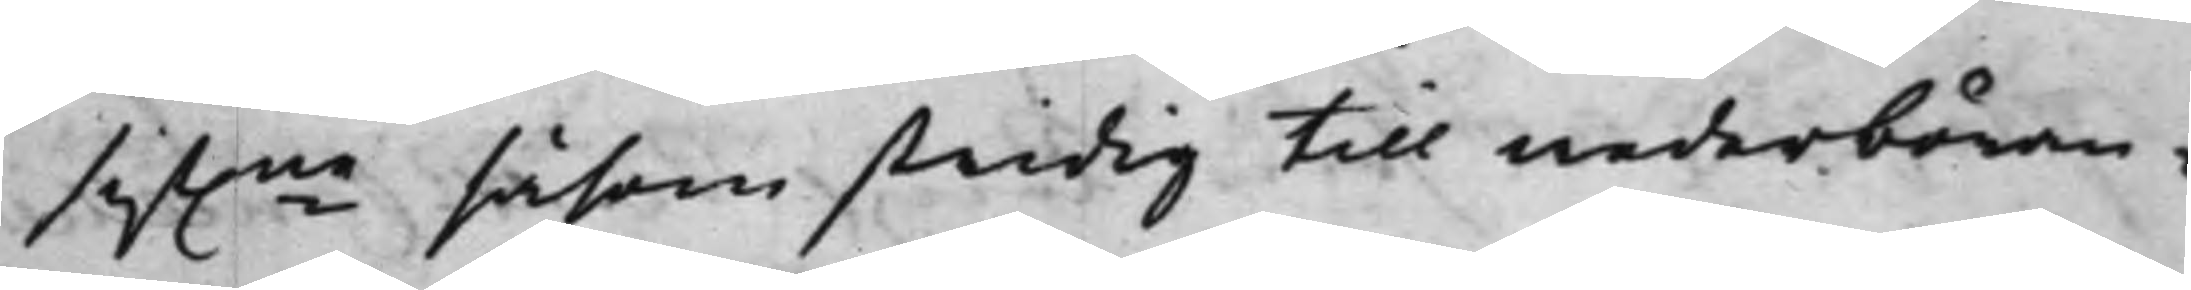sist.ne såsom stridig till wederböran¬
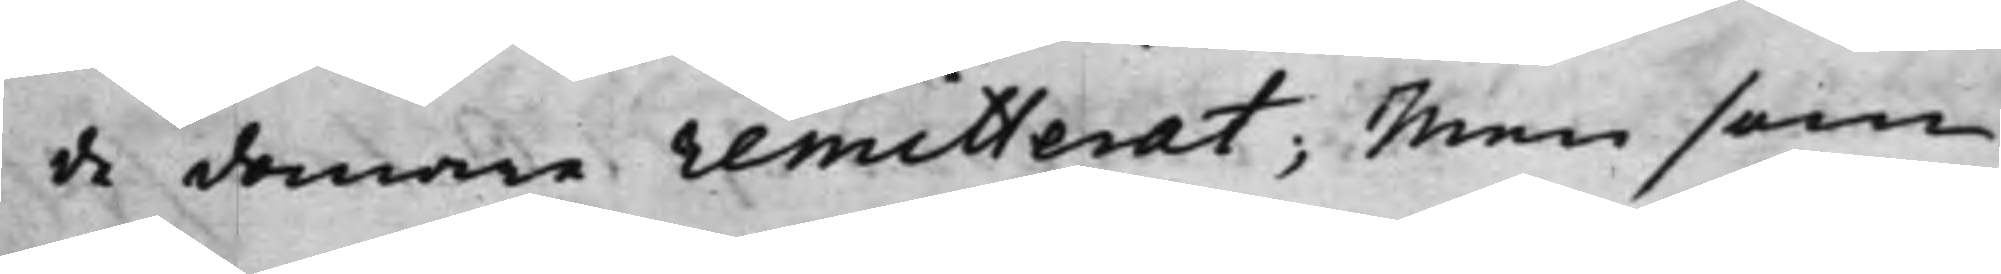de domare remitterat; Men som
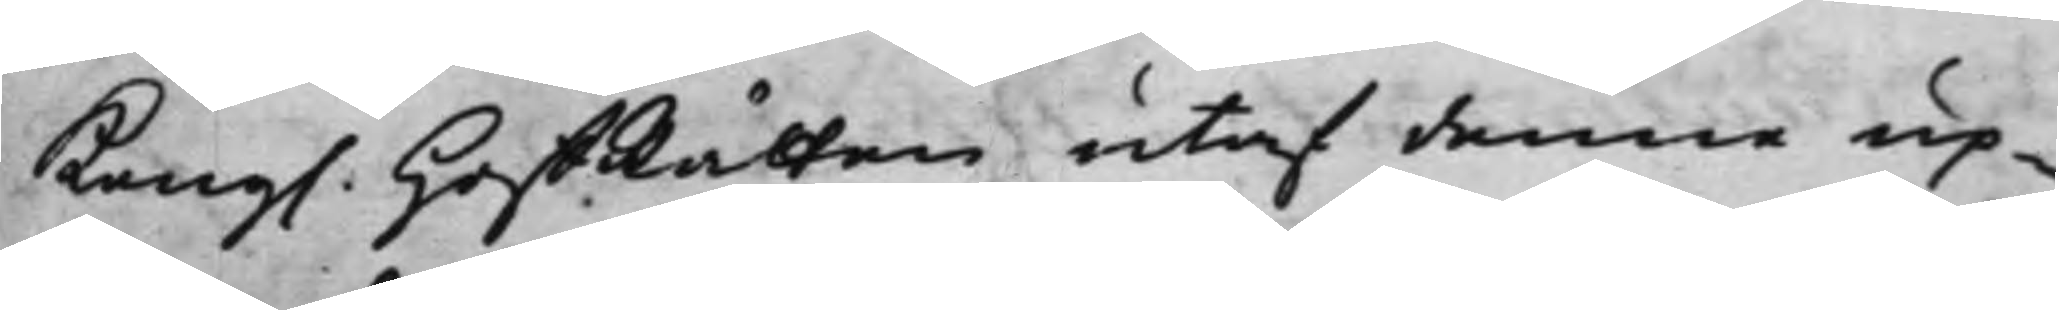Kong. HoffRätten utaf denne up¬
